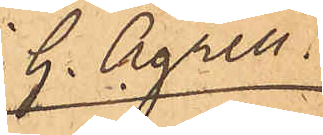J. G. Agrell.
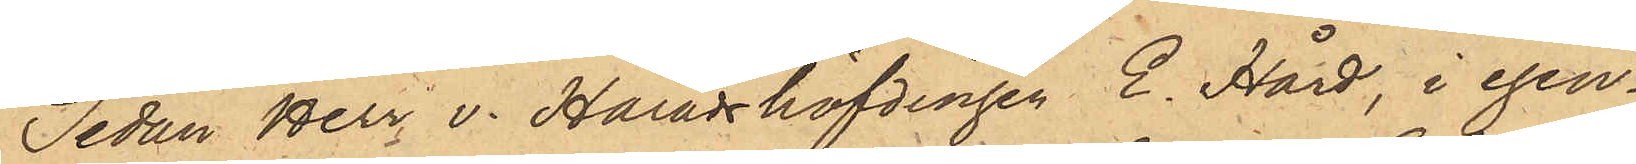Sedan Herr v. Häradshöfdingen E. Hård, i egen¬
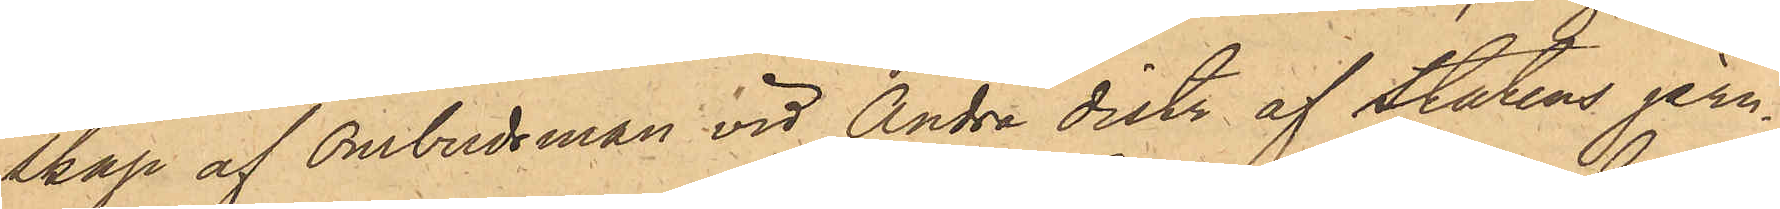skap af Ombudsman vid Andra distr af Statens jern¬
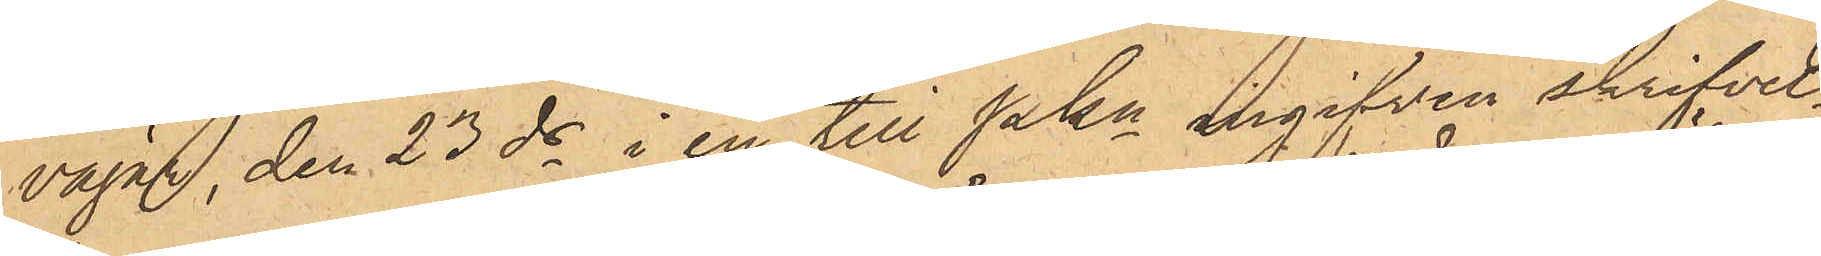vägar, den 23 ds i en till Pkn ingifven skrifvel¬
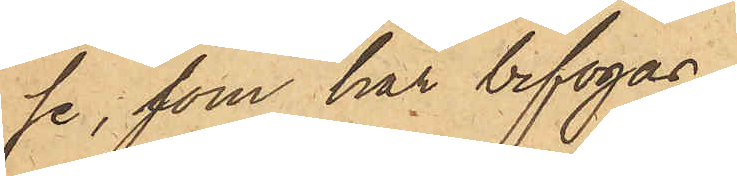se, som här bifogas,
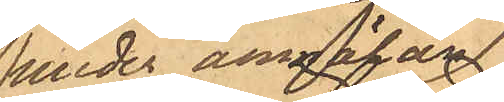under anmälan
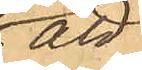att
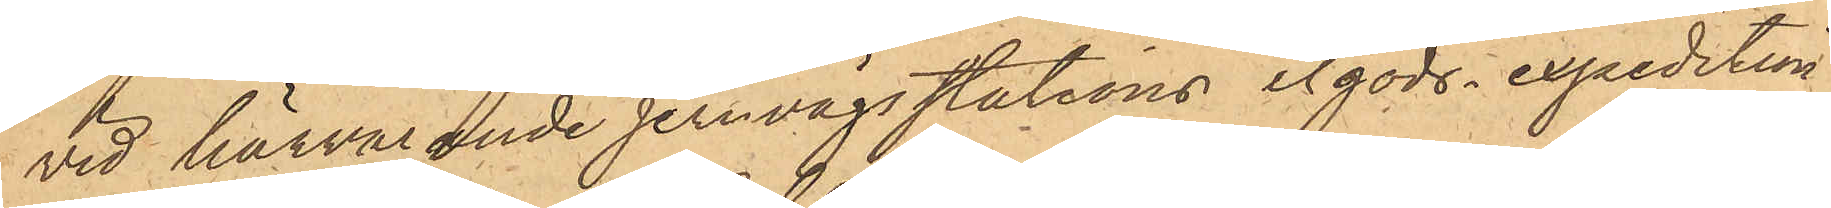vid härvarande Jernvägsstations ilgods-expedition,
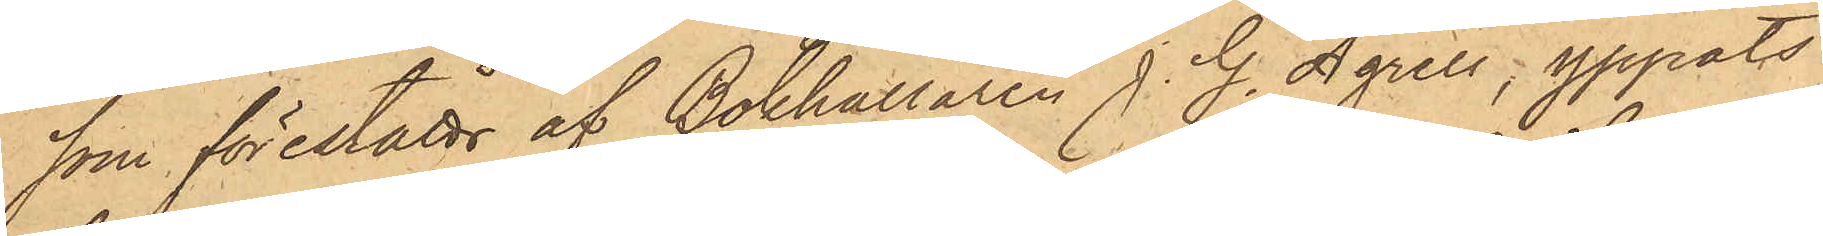som föreståtts af Bokhållaren J. G. Agrell, yppats
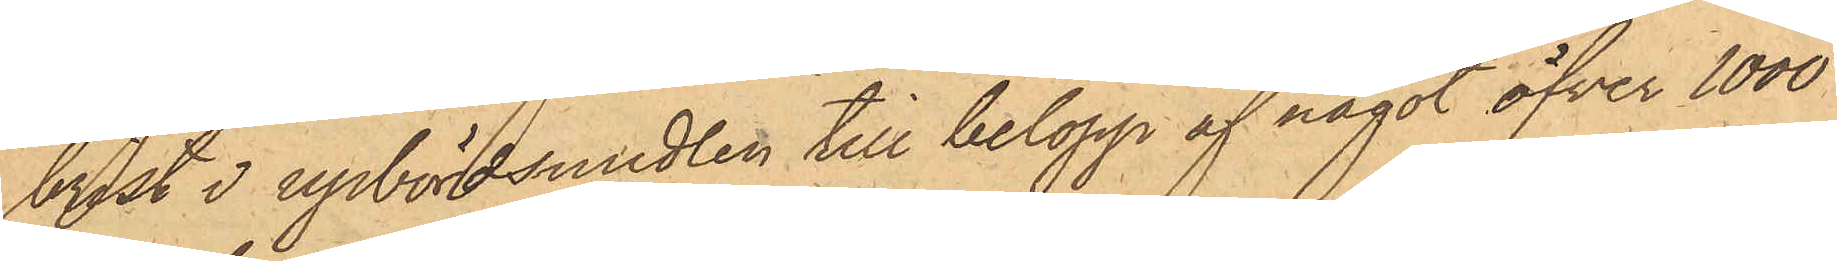brist i upbördsmedlen till belopp af något öfver 1000
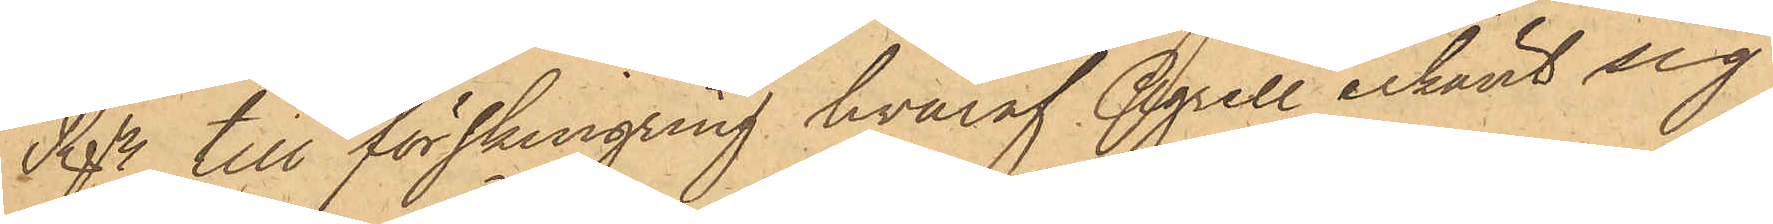Rgr, till förskingring hvaraf Agrell erkänt sig
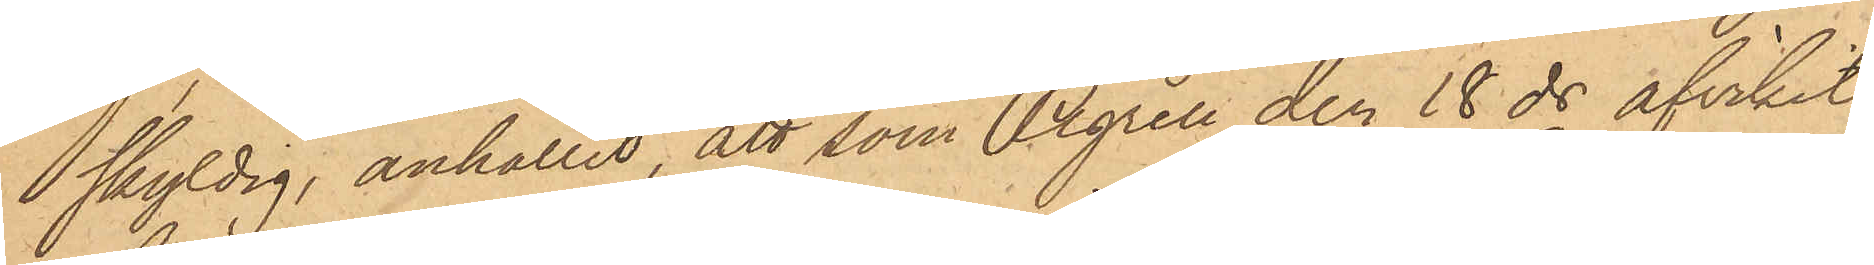skyldig, anhållit, att som Agrell den 18 ds afvikit
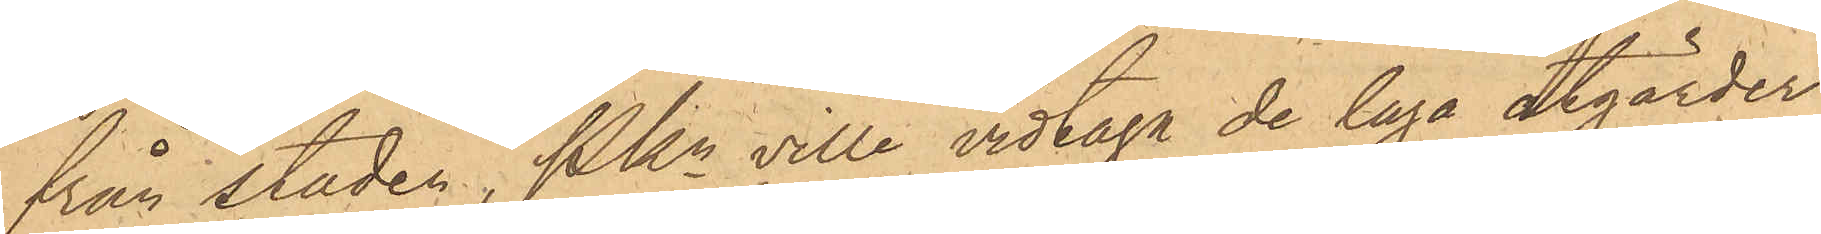från staden, Pkn ville vidtaga de laga åtgärder,
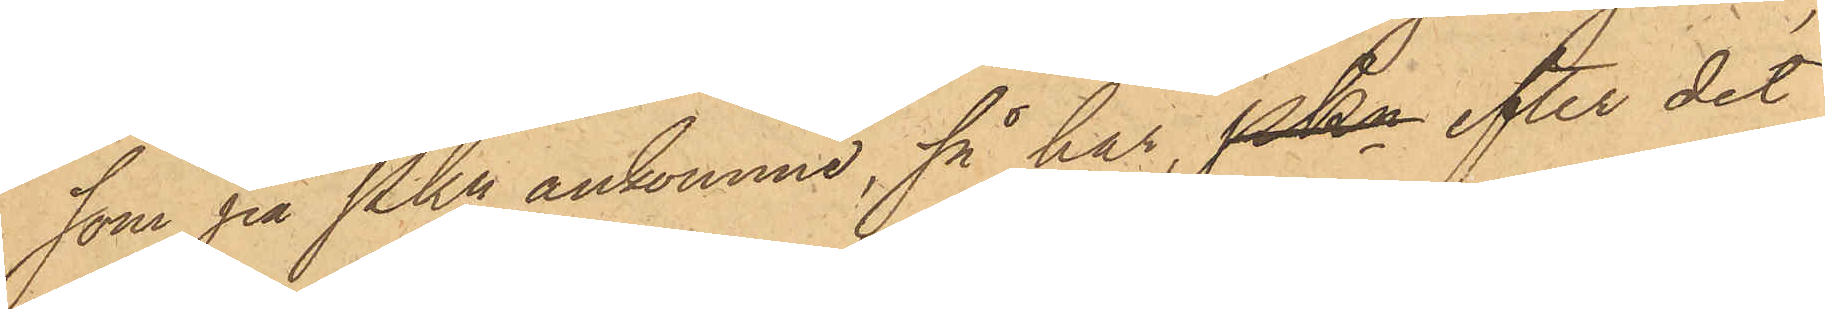som på Pkn ankomme, så har, Pkn efter det
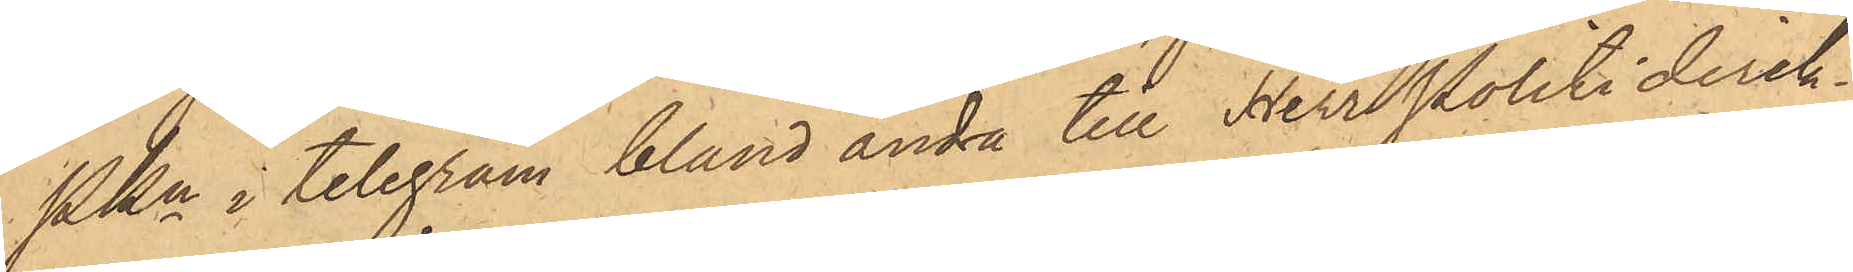Pkn i telegram bland andra till Herr Politidirek¬
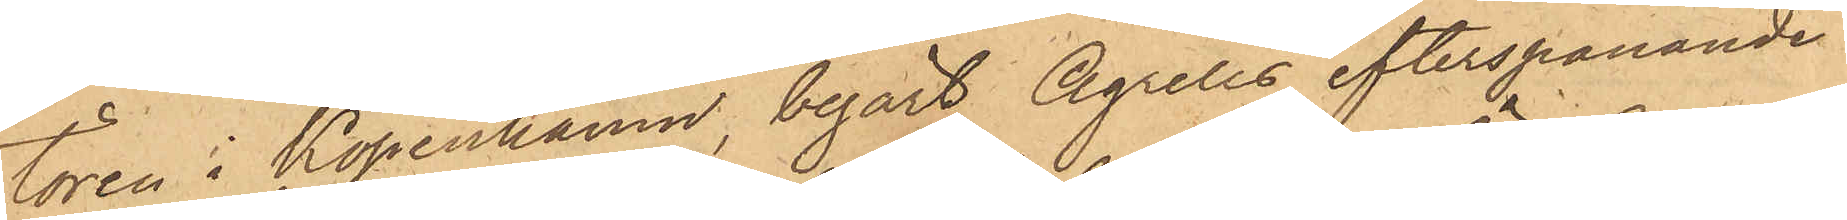tören i Köpenhamn, begärt Agrells efterspanande
